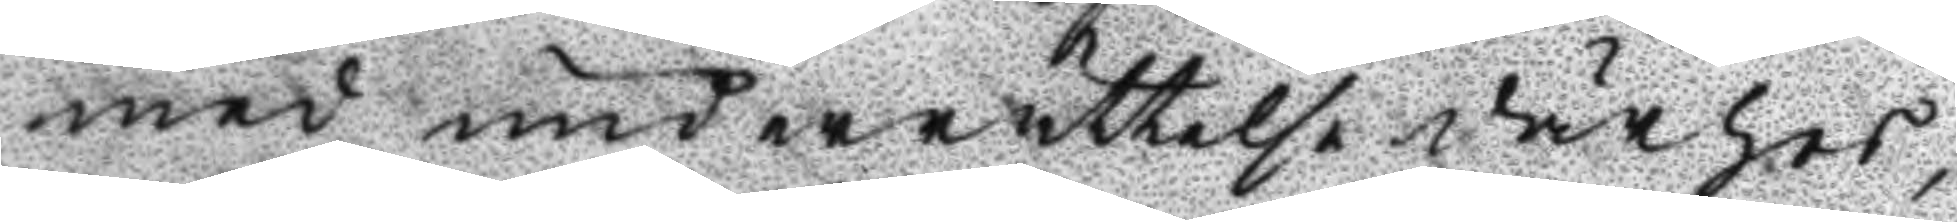med underrättelse därhos,
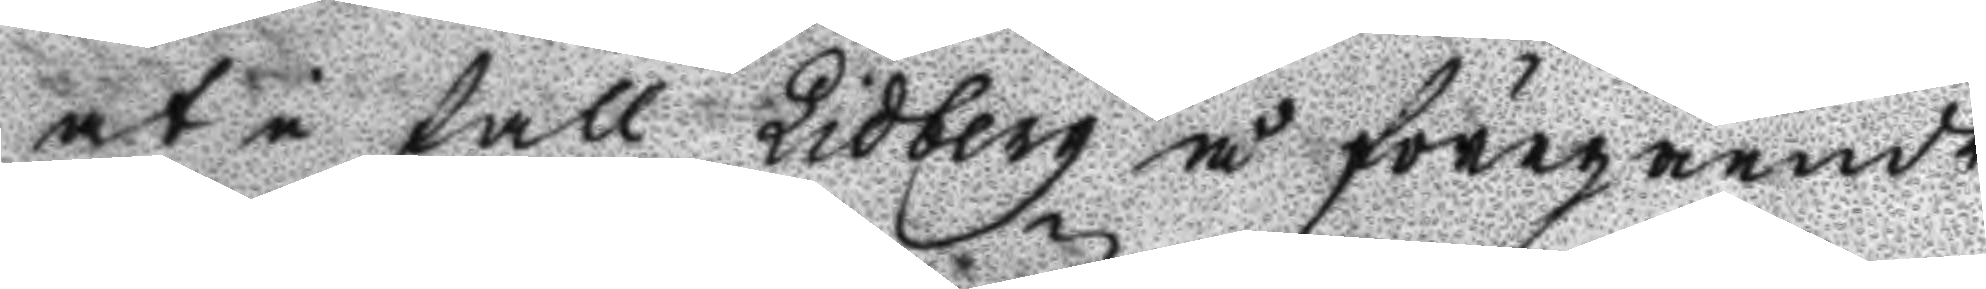at i fall Lidberg å föregående
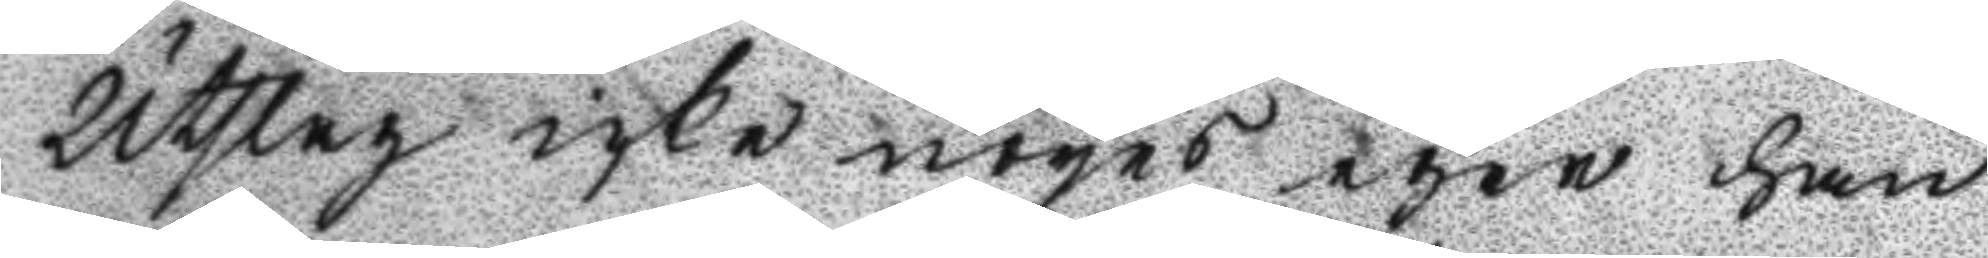Utslag icke nöyas eger han
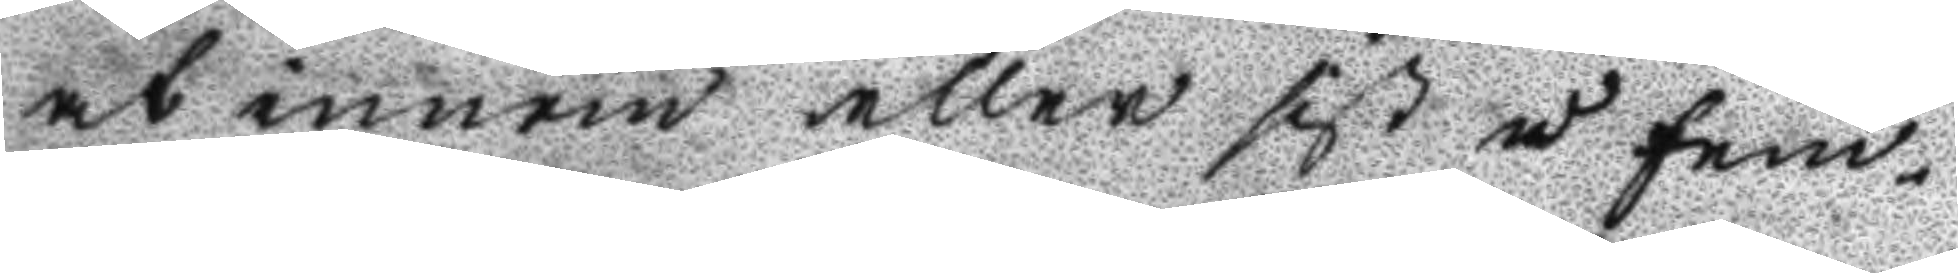at innan eller sist å fem¬
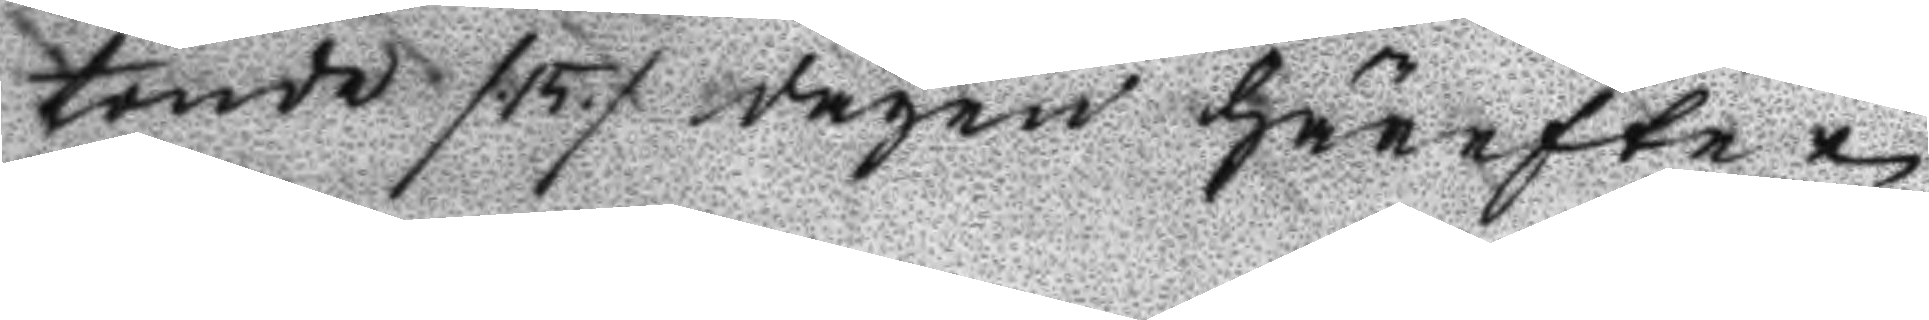tonde /.15./ dagen härefter i
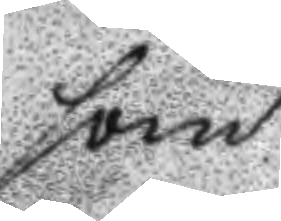som
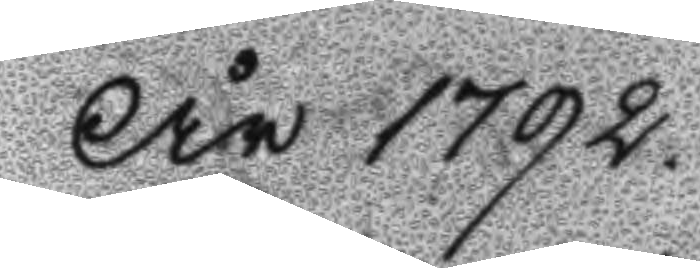År 1792.
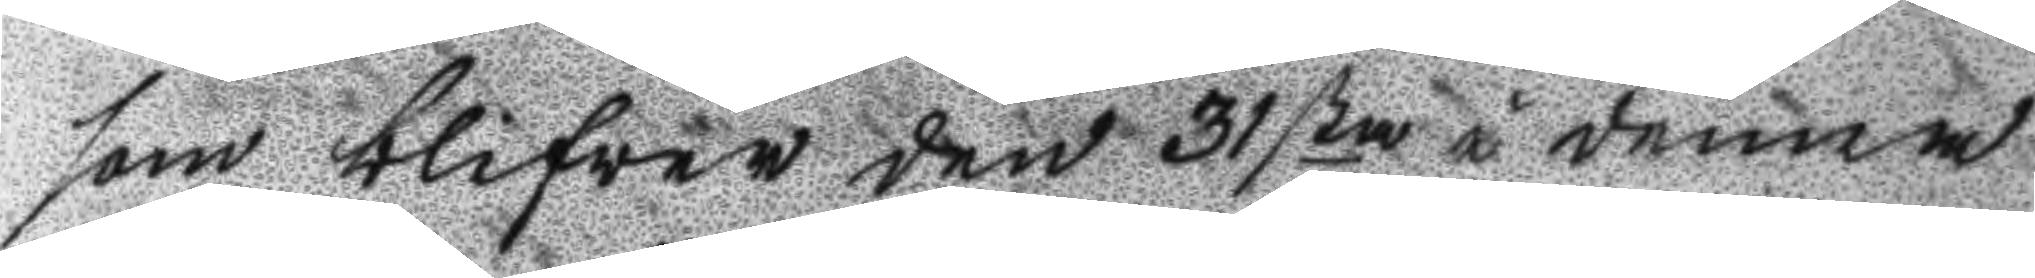som blifwer den 31sta i denna
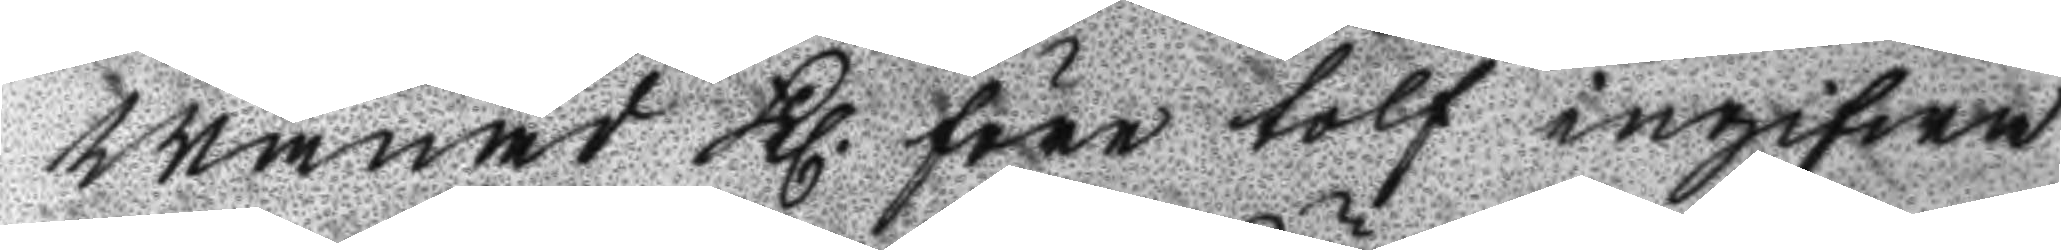månad Kl. före tolf ingifwa
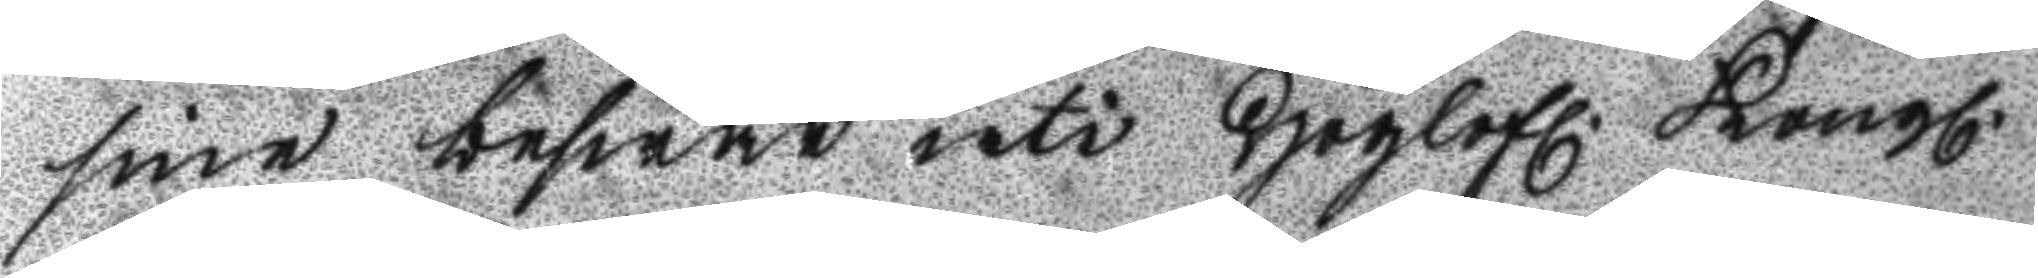sine beswär uti Höglofl. Kongl.
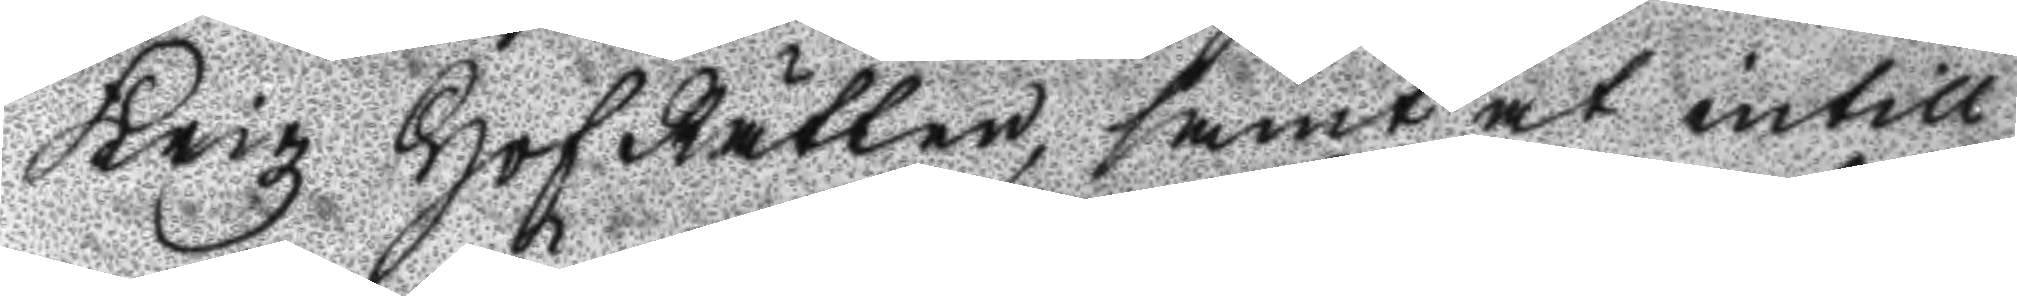Krigz HofRätten, samt at intill
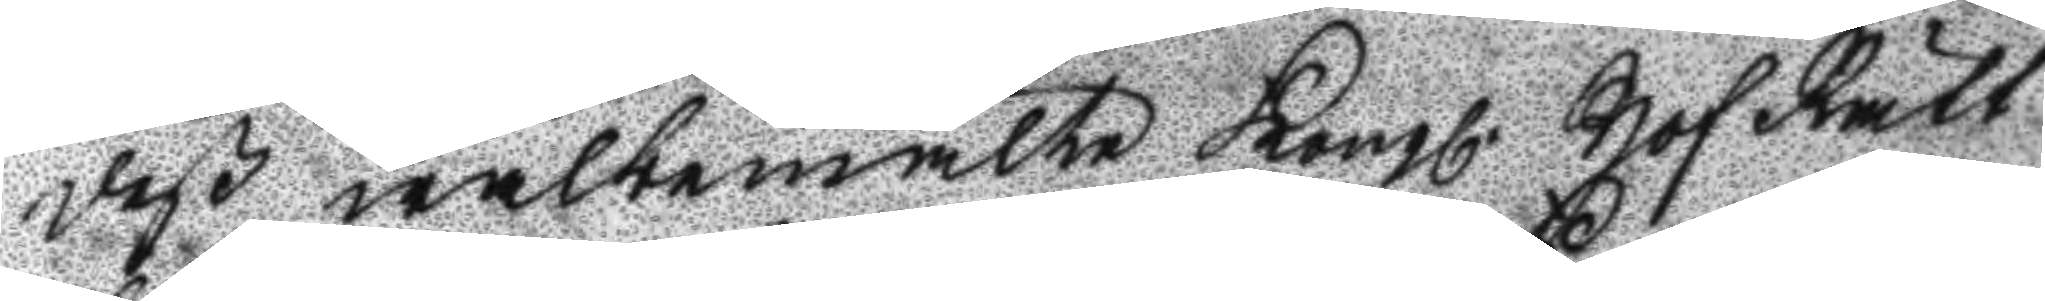deß wälbemälte Kongl. Hof Rätt
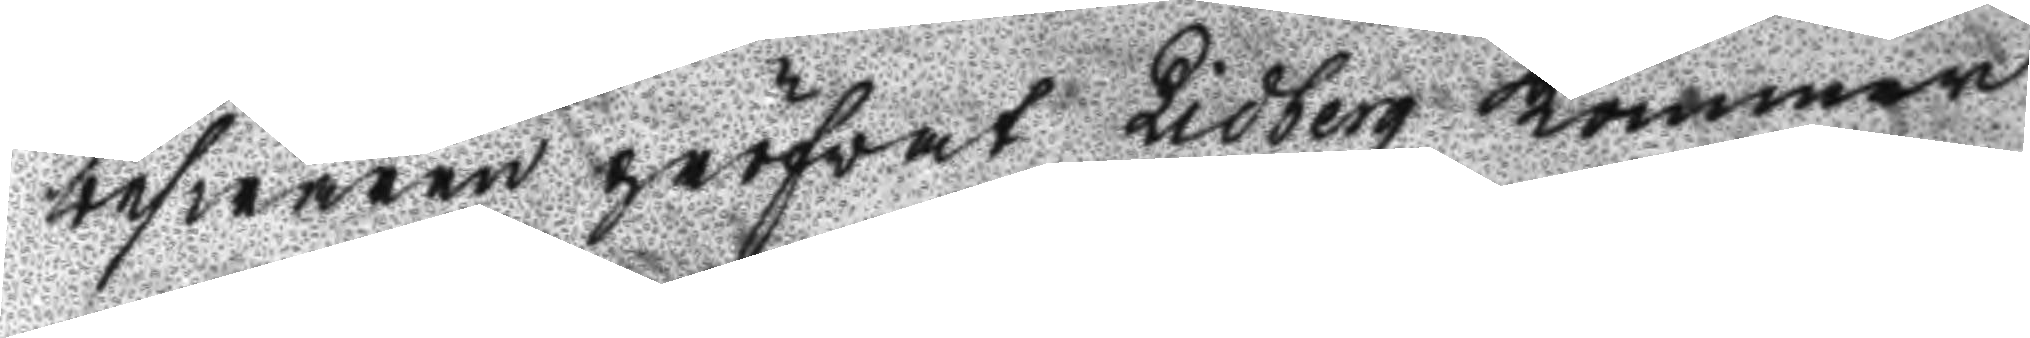beswären pröfvat Lidberg Kommer
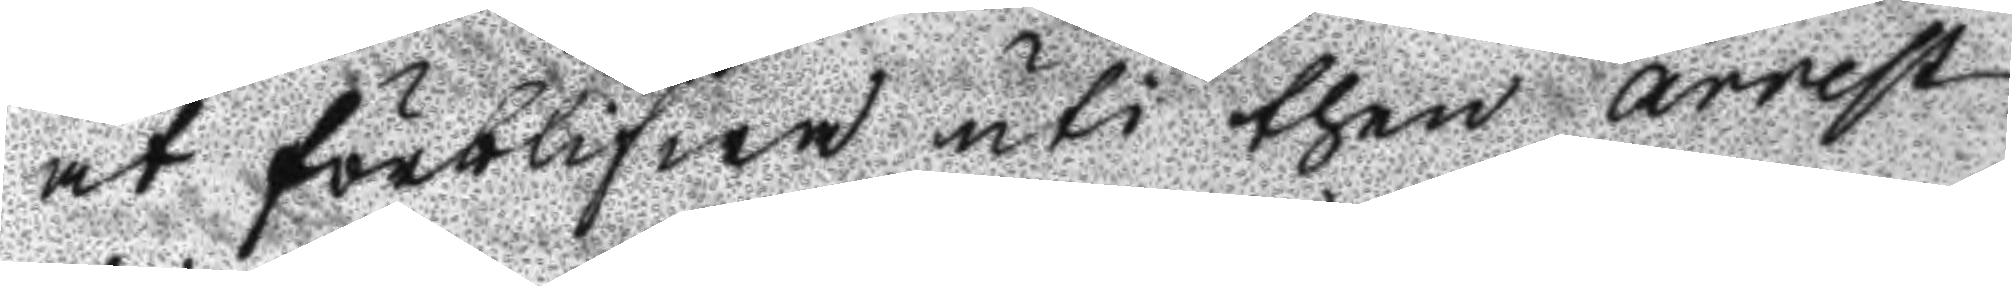at förblifwa uti then arrest
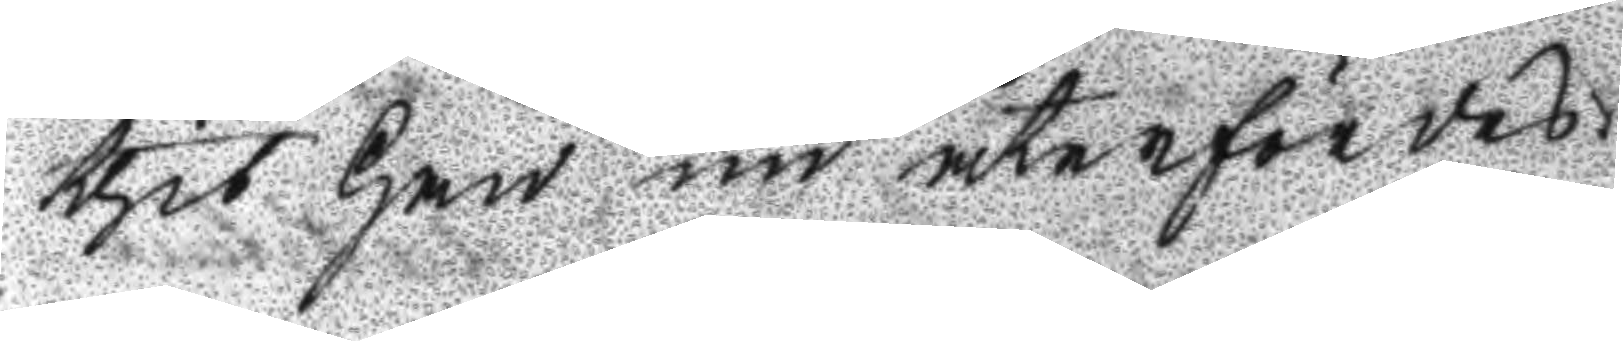thit han nu återfördes.
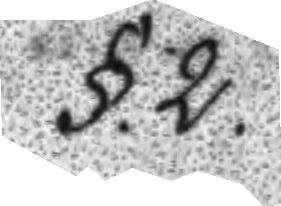§.2.
